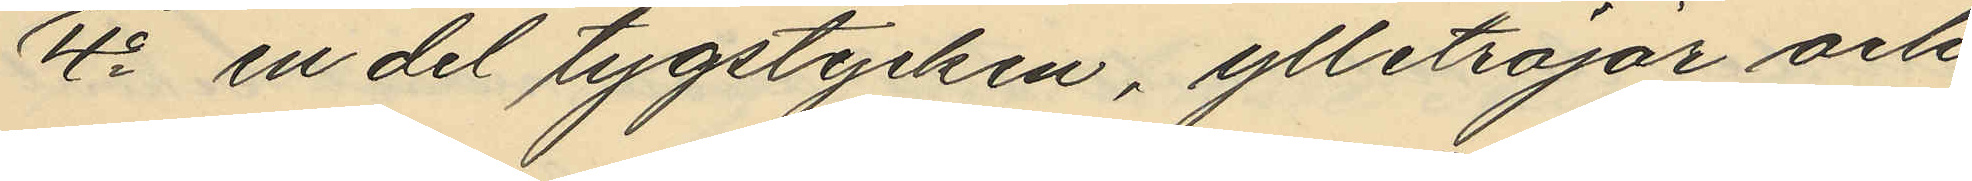4o en del tygstycken, ylletröjar och
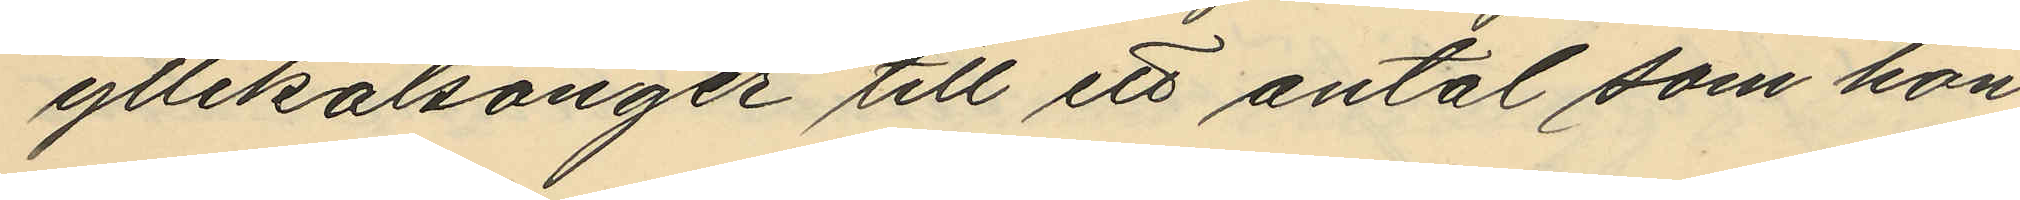yllekalsonger till ett antal som hon
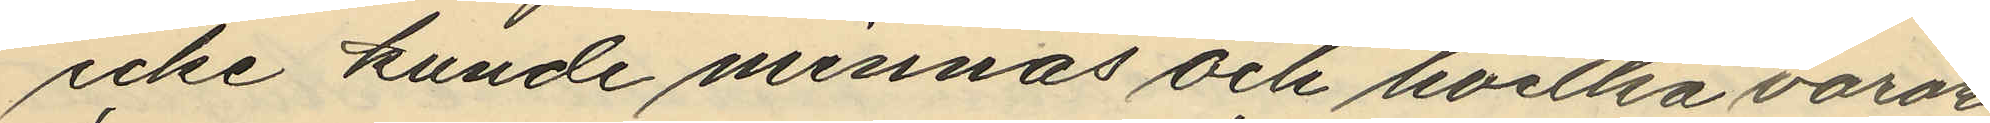icke kunde minnas och hvilka varor
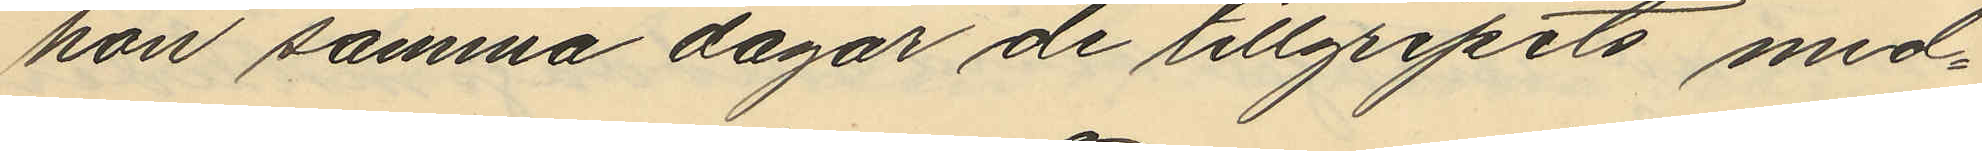hon samma dagar de tillgripits med¬
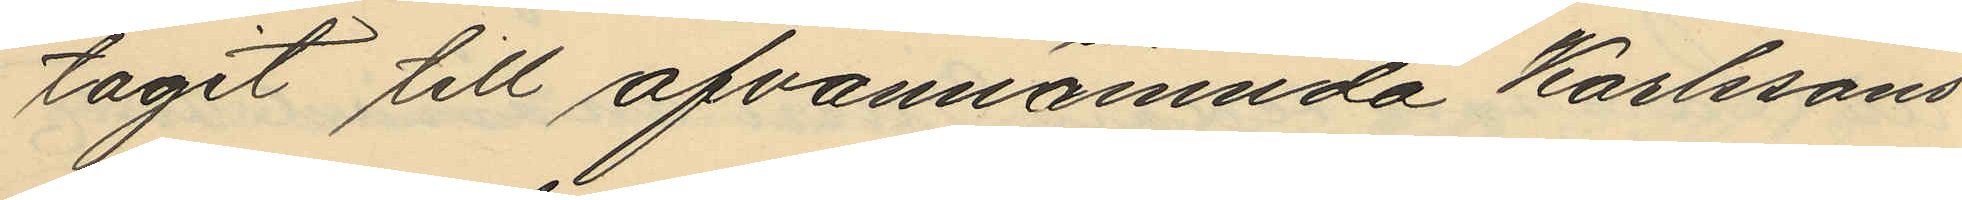tagit till ofvannämnda Karlssons
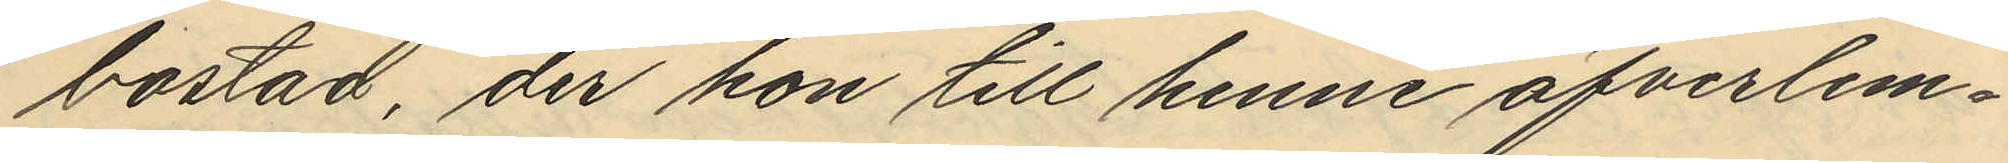bostad, der hon till henne öfverlem¬
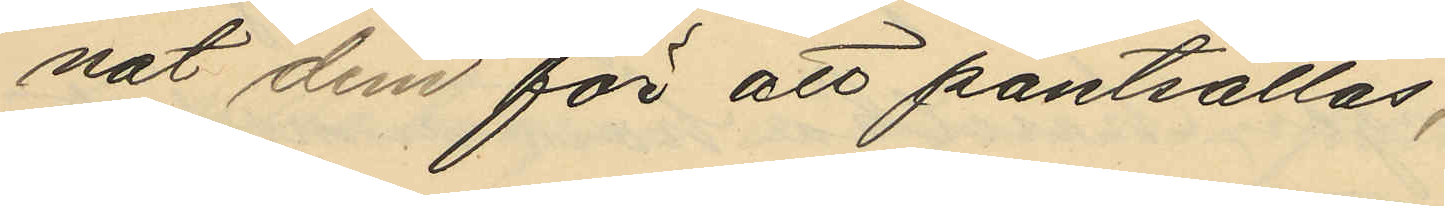nat dem för att pantsättas,
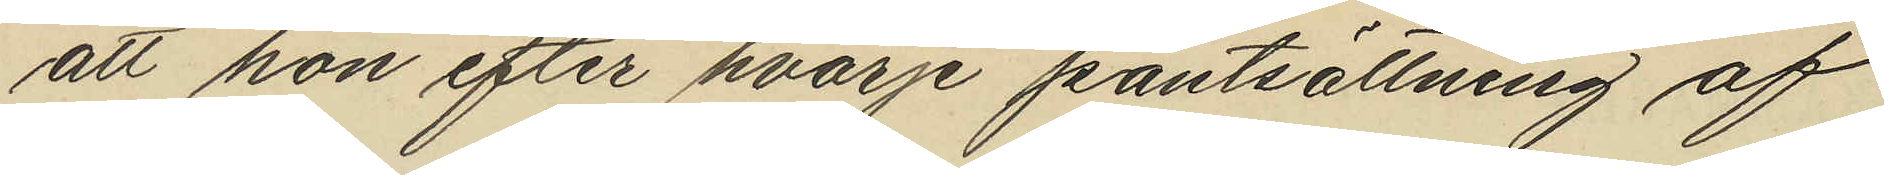att hon efter hvarje pantsättning af
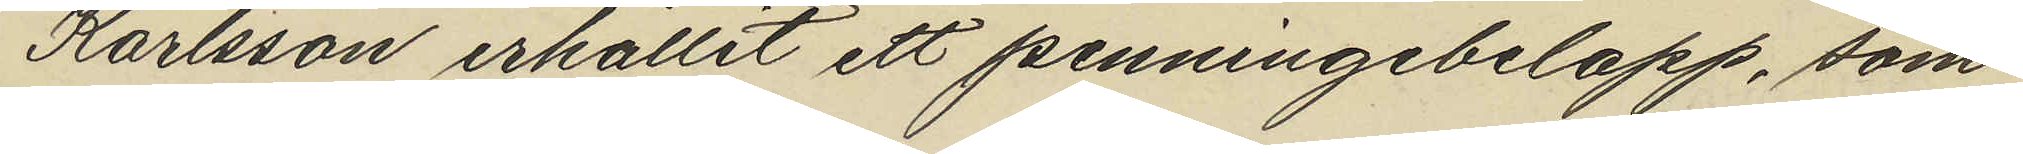Karlsson erhållit ett penningebelopp, som
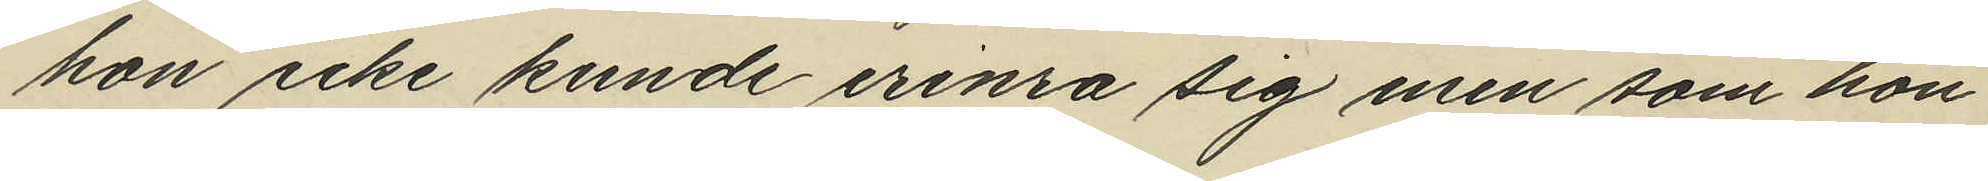hon icke kunde erinra sig men som hon
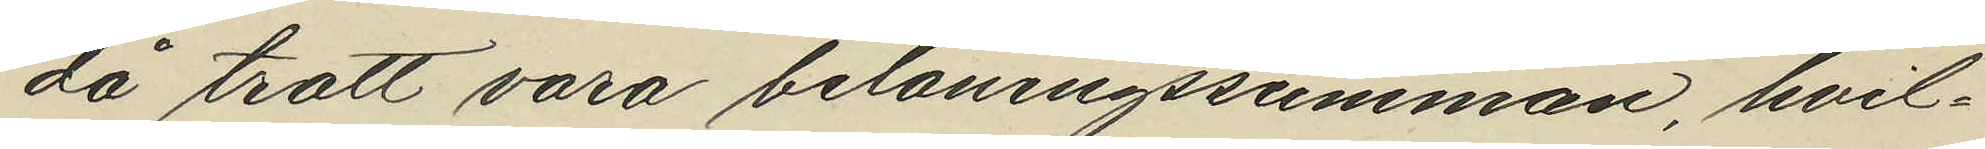då trott vara belåningssumman, hvil¬
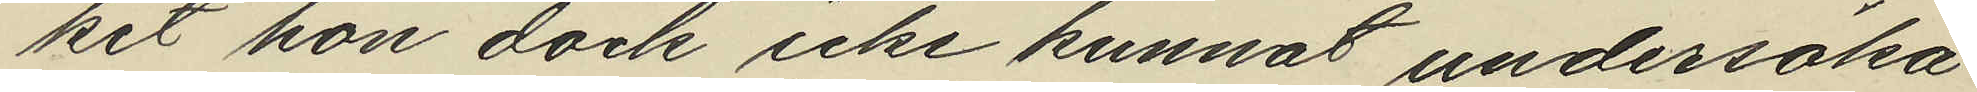ket hon dock icke kunnat undersöka
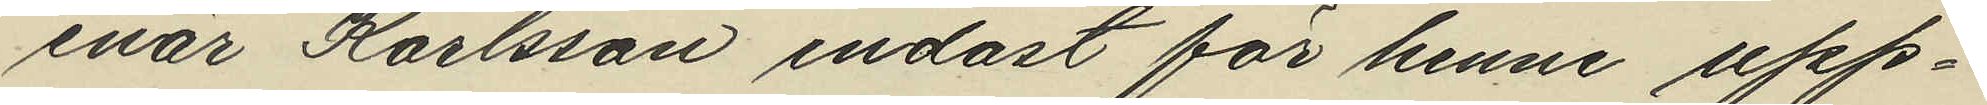enär Karlsson endast för henne upp¬
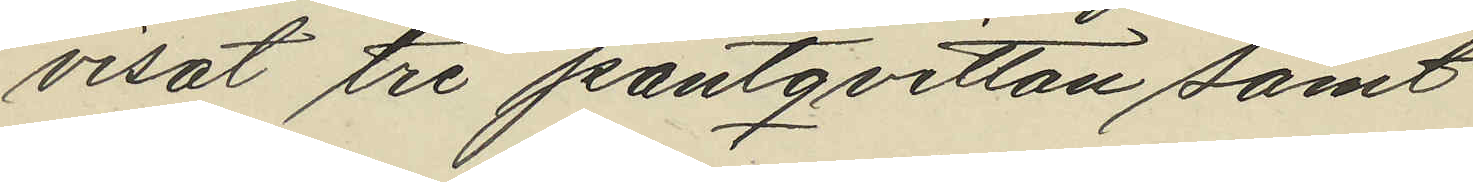visat tre pantqvitton samt
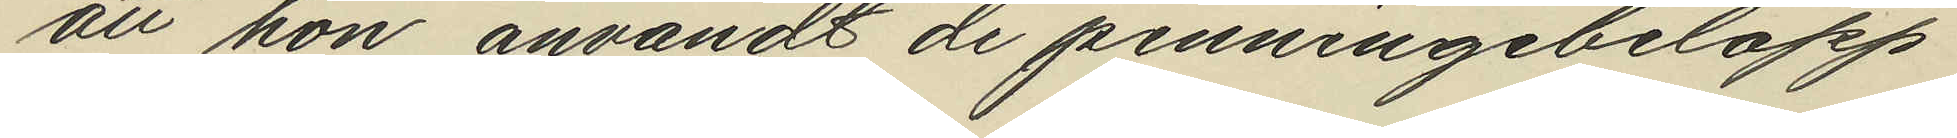att hon användt de penningebelopp
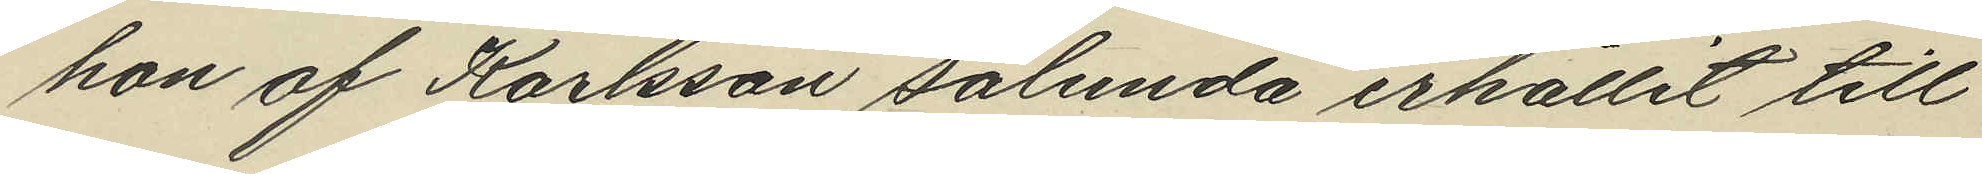hon af Karlsson sålunda erhållit till
